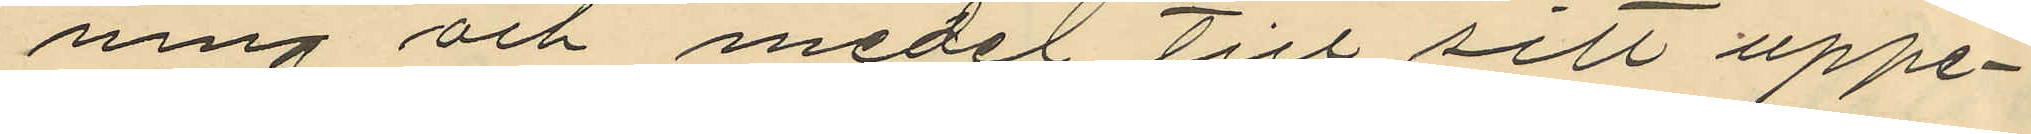ning och medel till sitt uppe¬
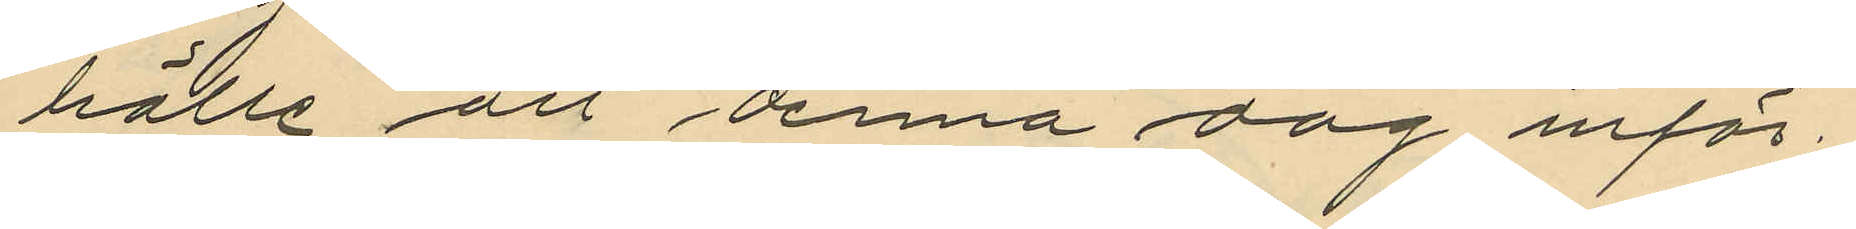hälle att denna dag inför
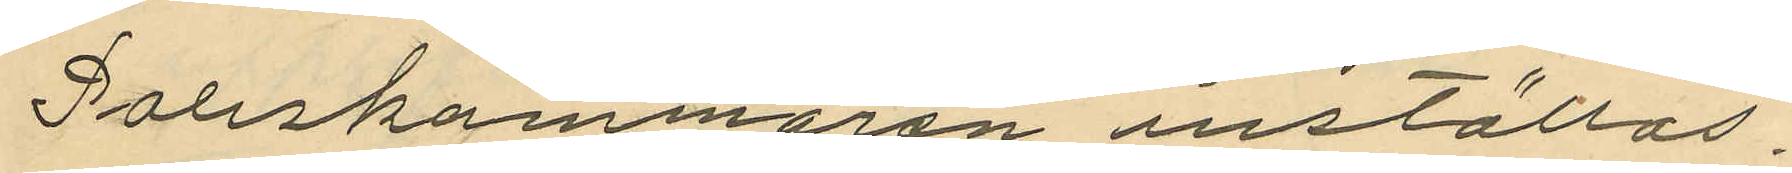Poliskammaren inställas.
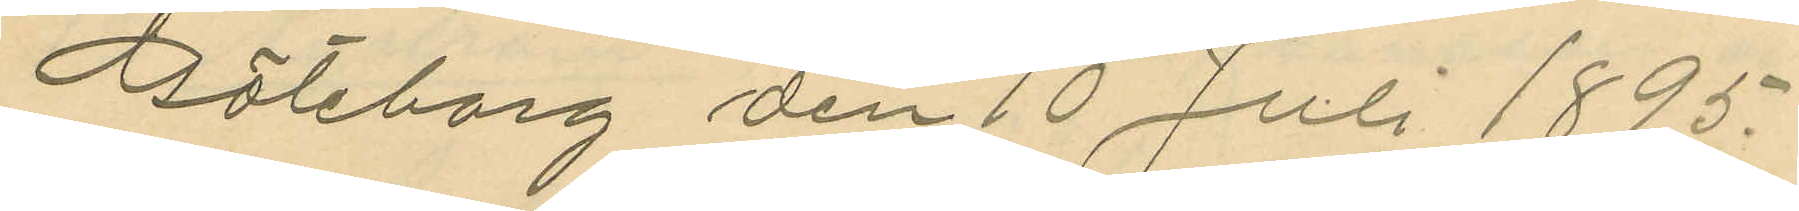Göteborg den 10 Juli 1895.
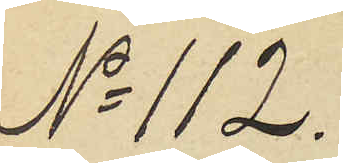No 112.
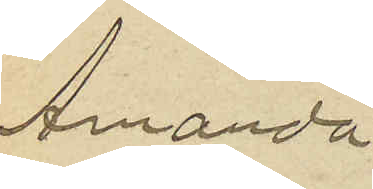Amanda
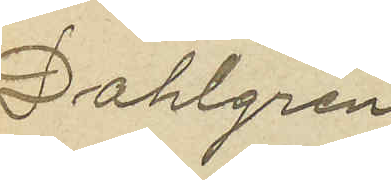Dahlgren
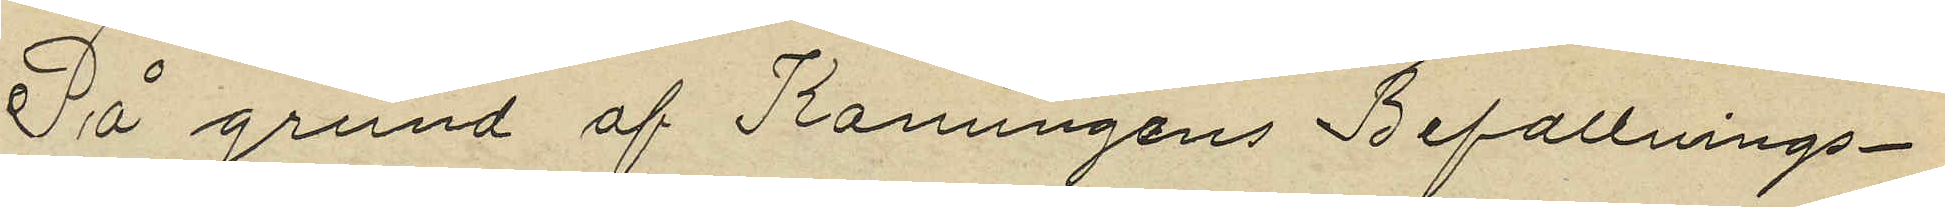På grund af Konungens Befallnings¬
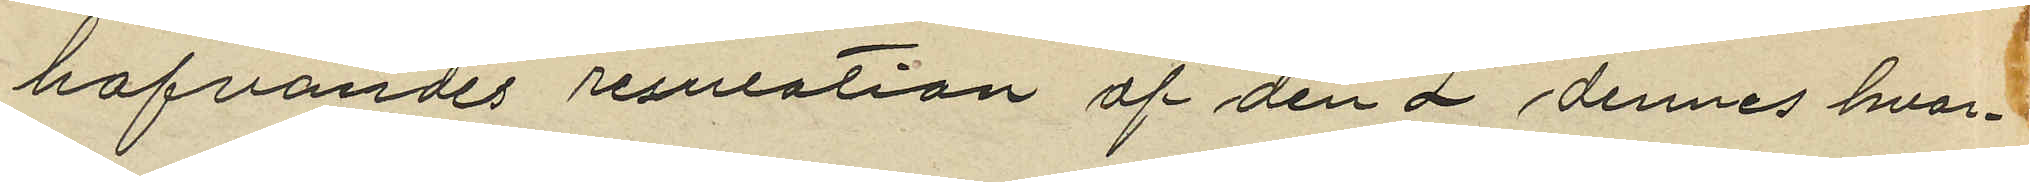hafvandes resulotion af den 2 dennes hvar¬
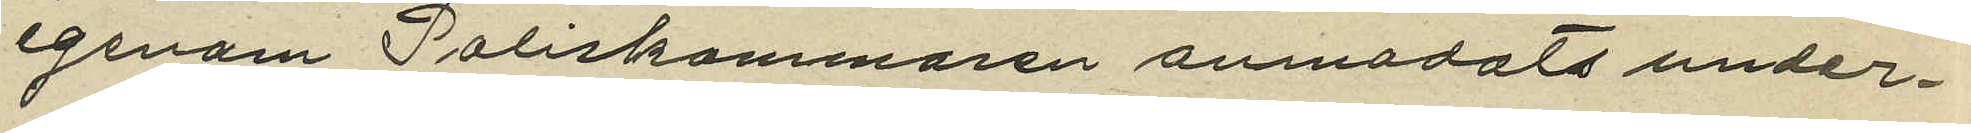igenom Poliskammaren anmodats under¬
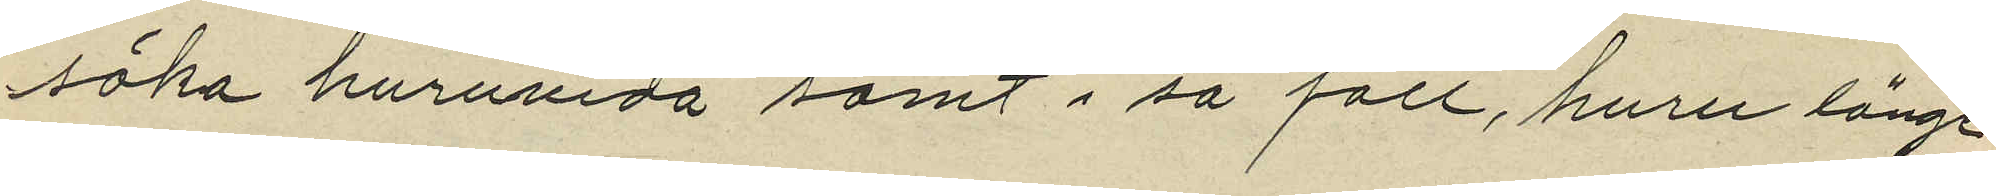söka huruvida samt i så fall, huru länge
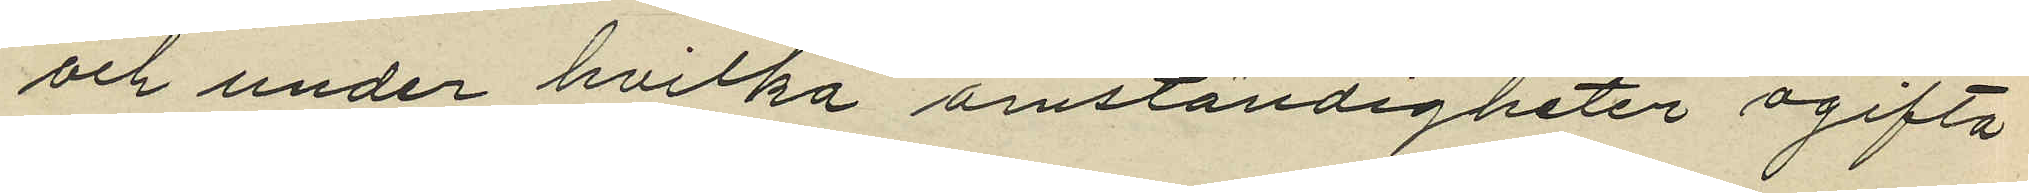och under hvilka omständigheter ogifta
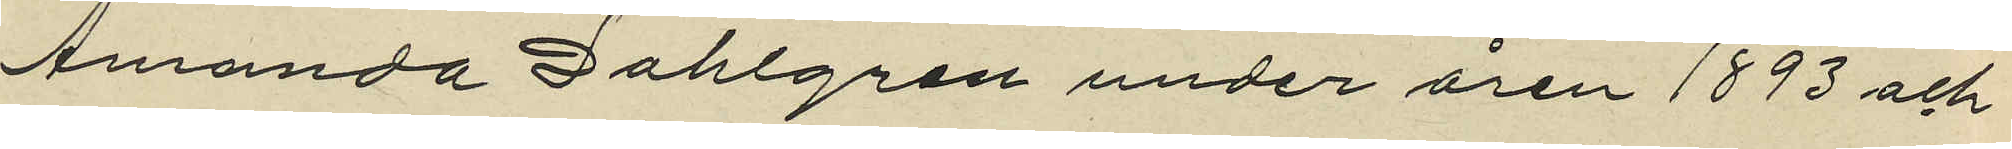Amanda Dahlgren under åren 1893 och
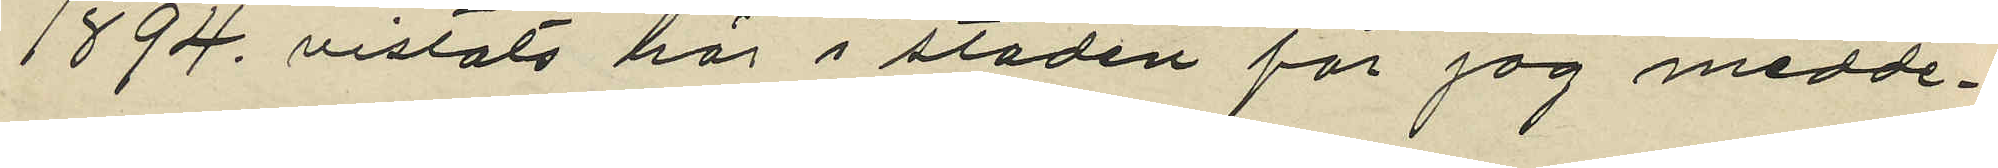1894 vistats här i staden får jag medde¬
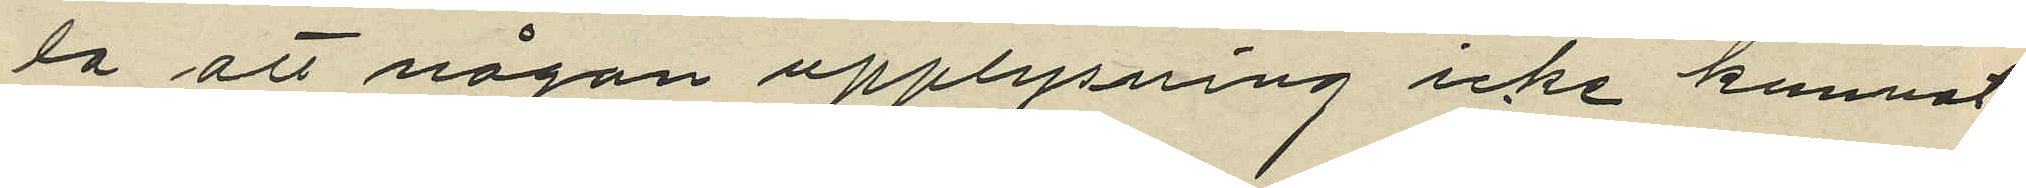la att någon upplysning icke kunnat
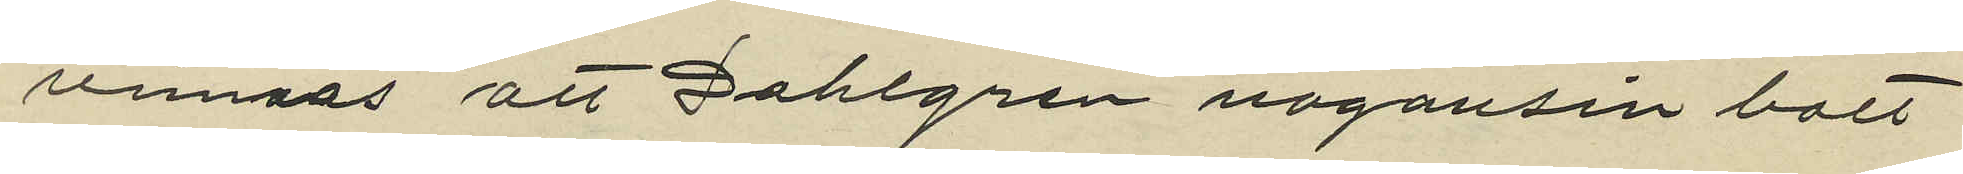vinnas att Dahlgren någonsin bott
